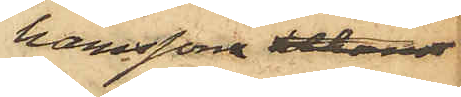hamssons bekant
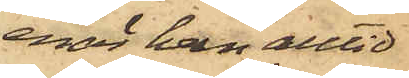enär han alltid
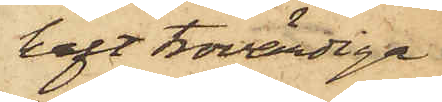haft trovärdiga
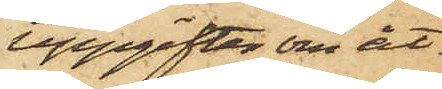uppgifter om åt¬
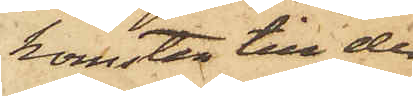komsten till de
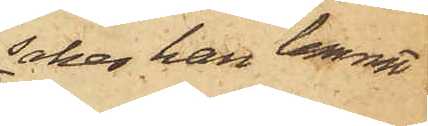saker han lemnat
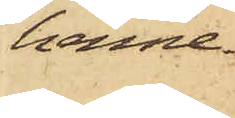henne.
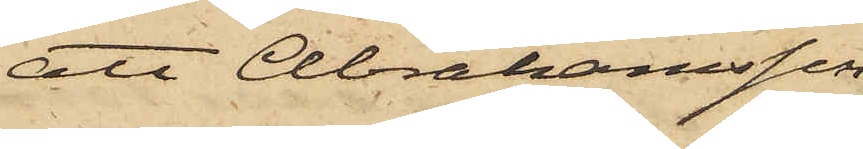att Abrahamsson
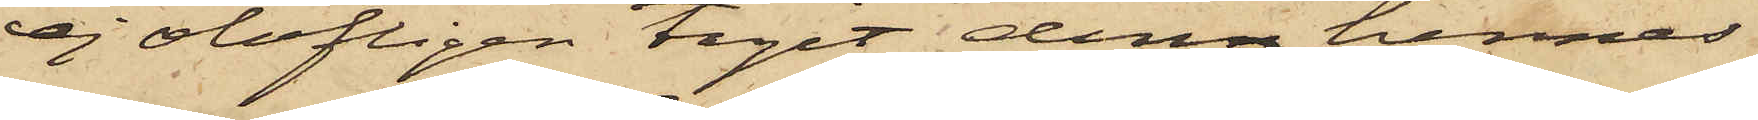ej olofligen tagit denn hennes
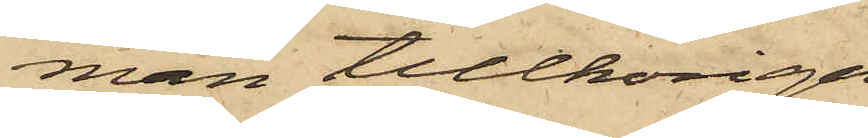man tillhöriga
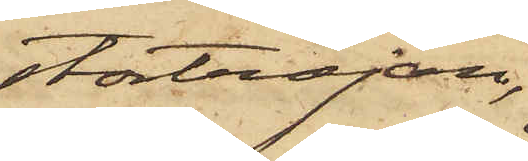stortröjan,
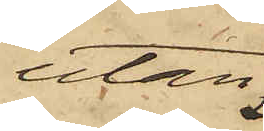utan
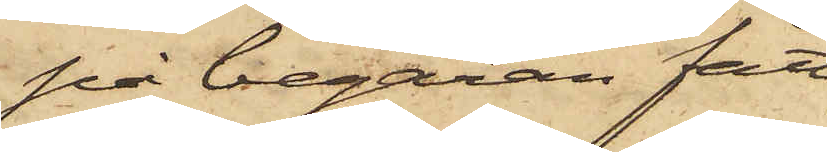på begäran fått
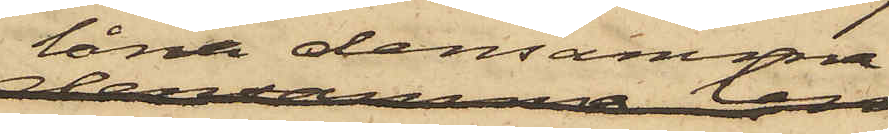låna densamma,
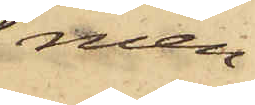men
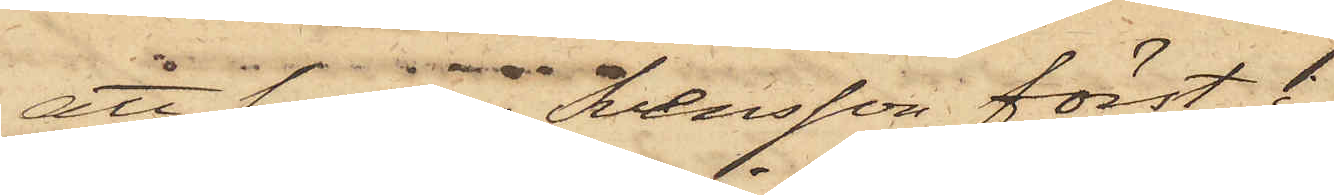att sedan Svensson först i 
